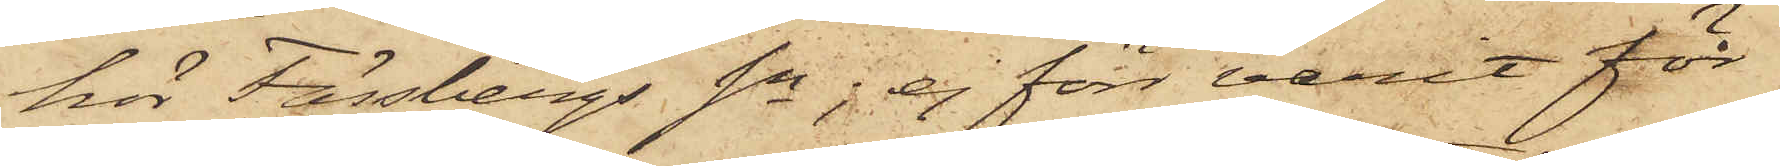hör Fässbergs Sn; ej förr varit för
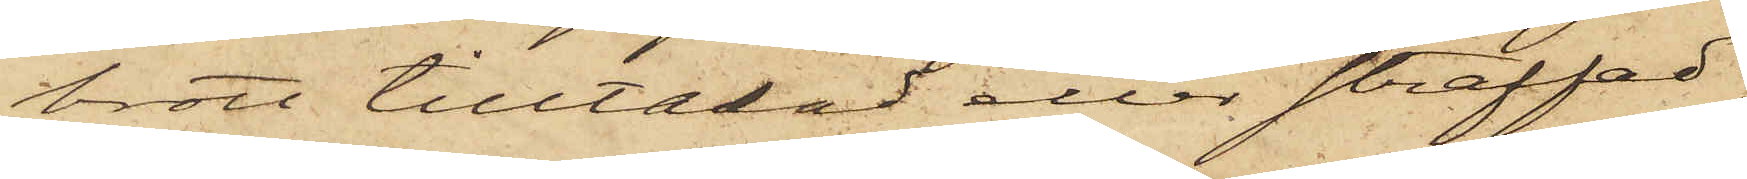brott tilltalad eller straffad
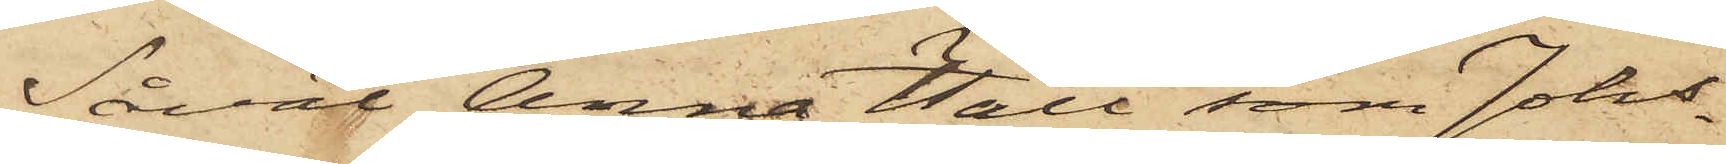Såväl Anna Hall som Johs
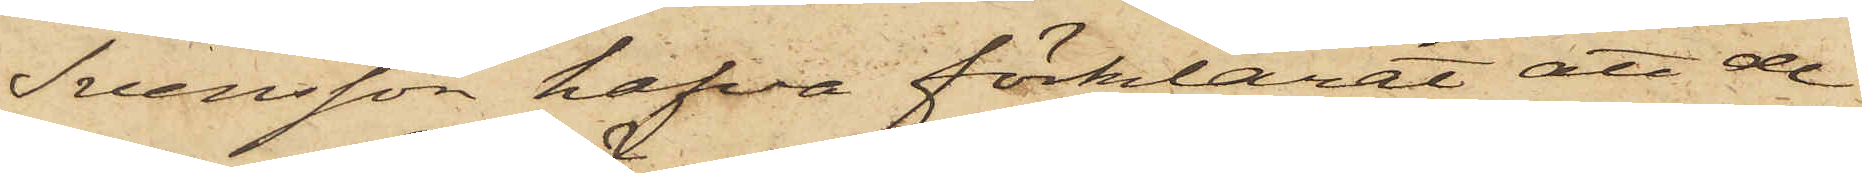Svensson hafva förklarat att de
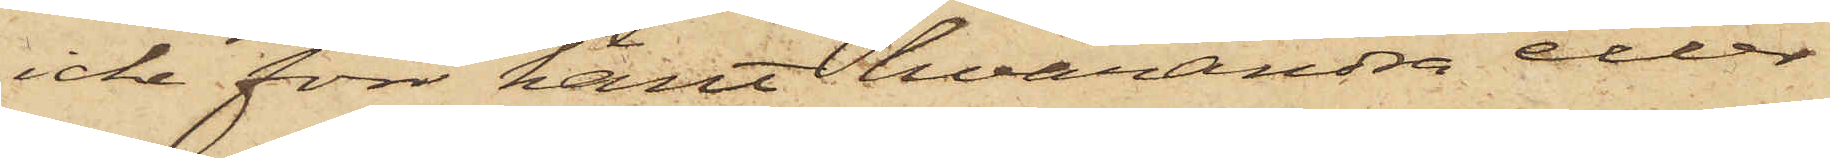icke förr känt hvarandra eller
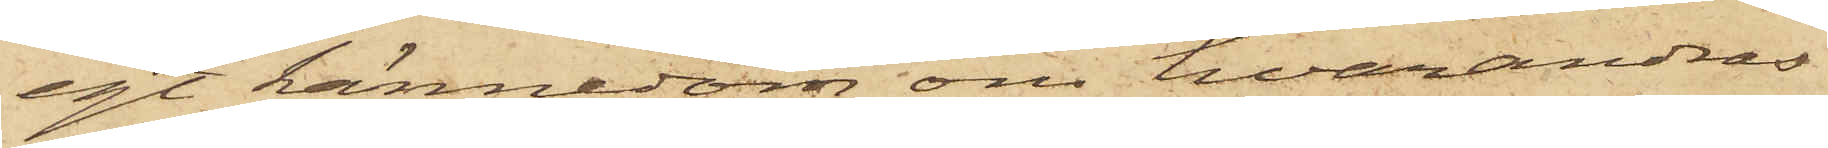egt kännedom om hvarandras
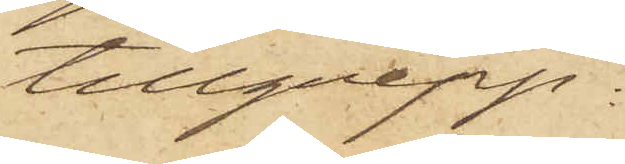tillgrepp.
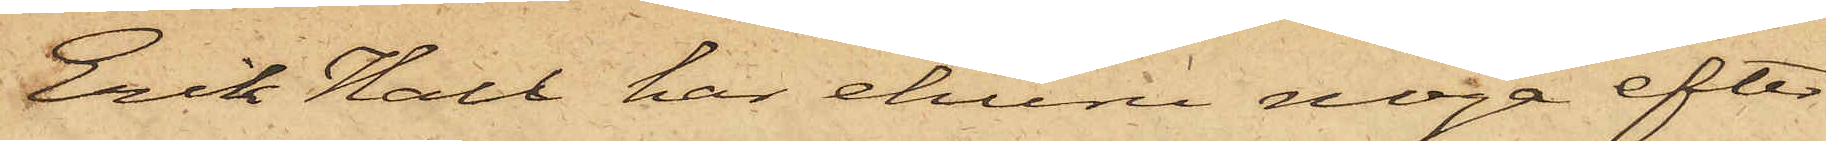Erik Hall har ehuru noga efter¬
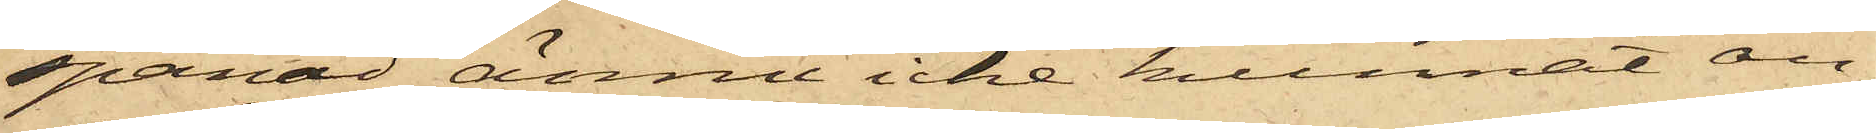spanad ännu icke kunnat an¬
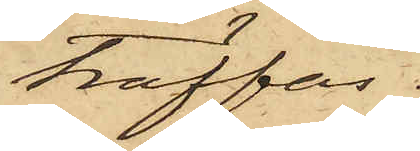träffas.
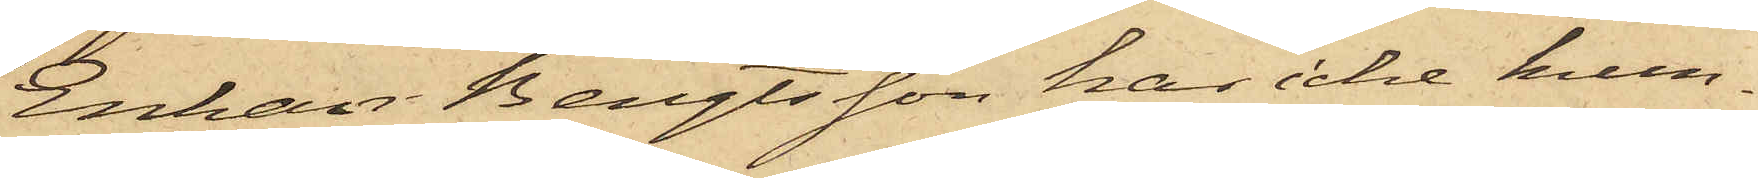Enkan Bengtsson har icke kun¬
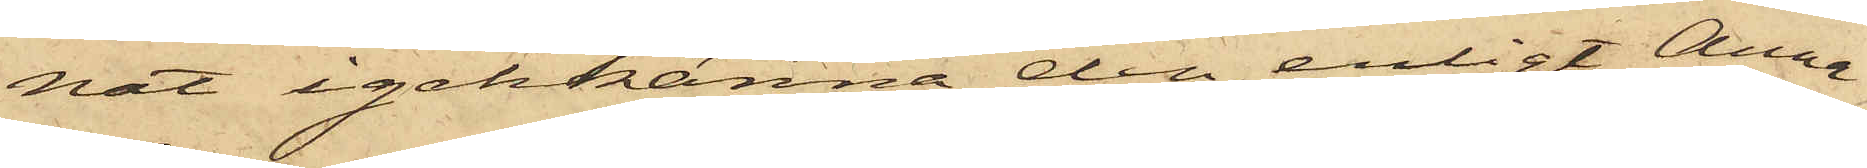nat igenkänna den, enligt Anna
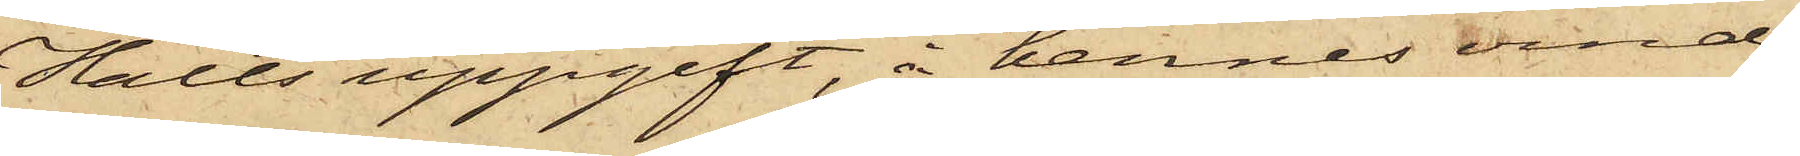Halls uppgift, å hennes vind
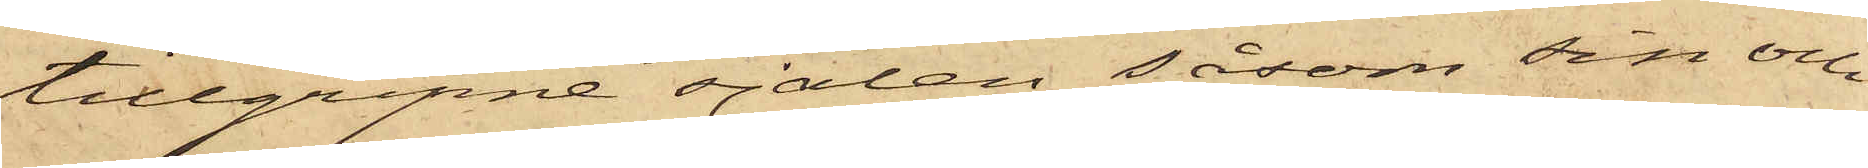tillgripne sjalen såsom sin och
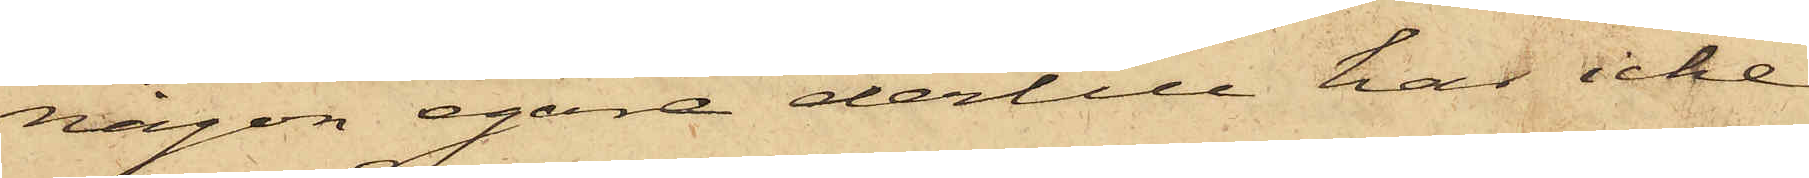någon egare dertill har icke
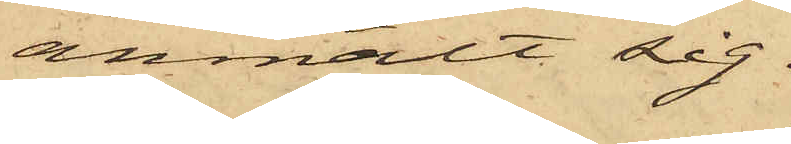anmält sig.
